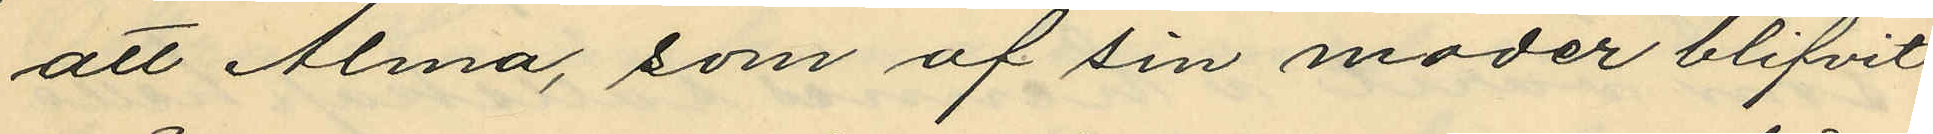att Alma, som af sin moder blifvit
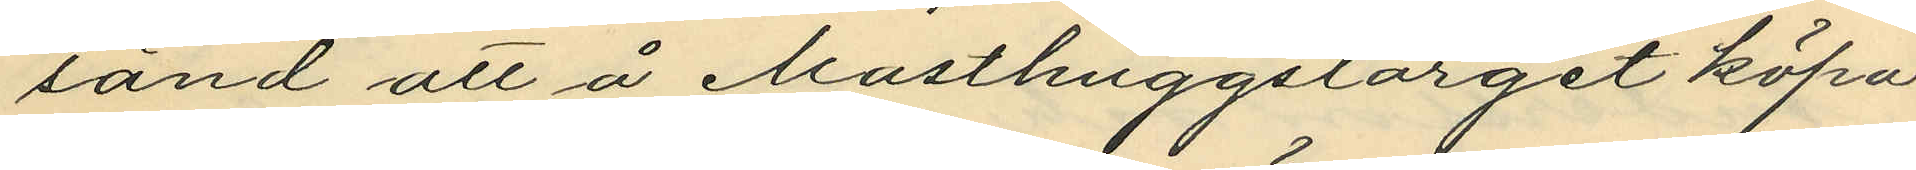sänd att å Masthuggstorget köpa
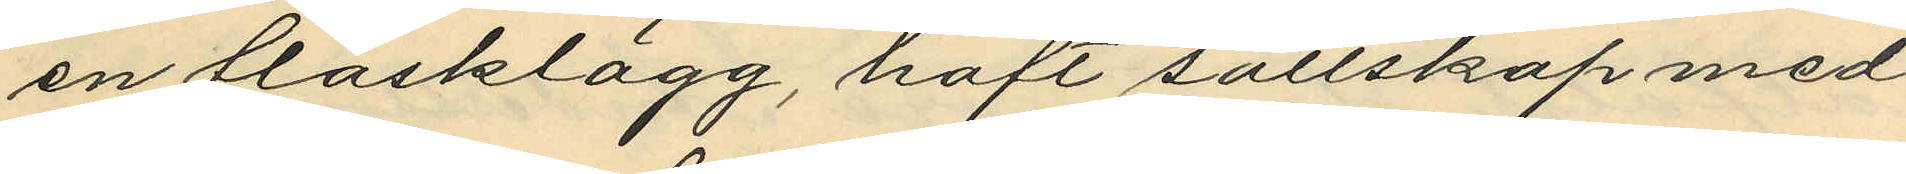en fläsklägg, haft sällskap med
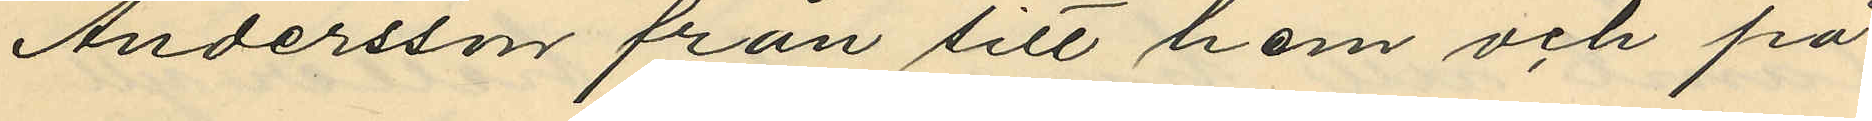Andersson från sitt hem och på
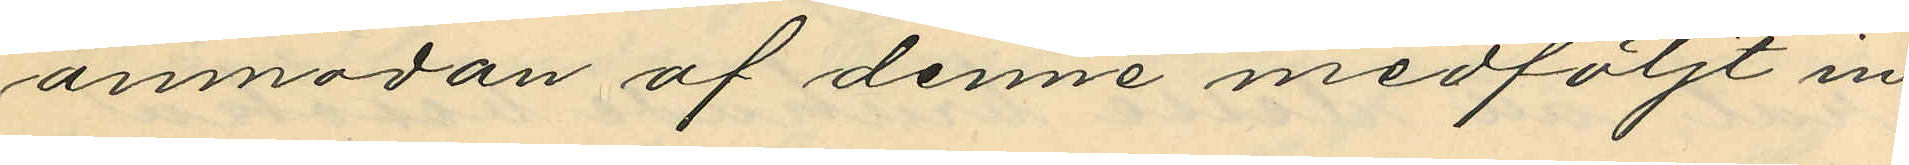anmodan af denne medföljt in
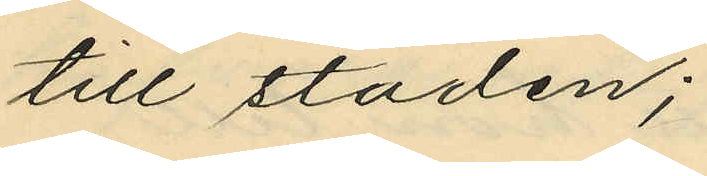till staden;
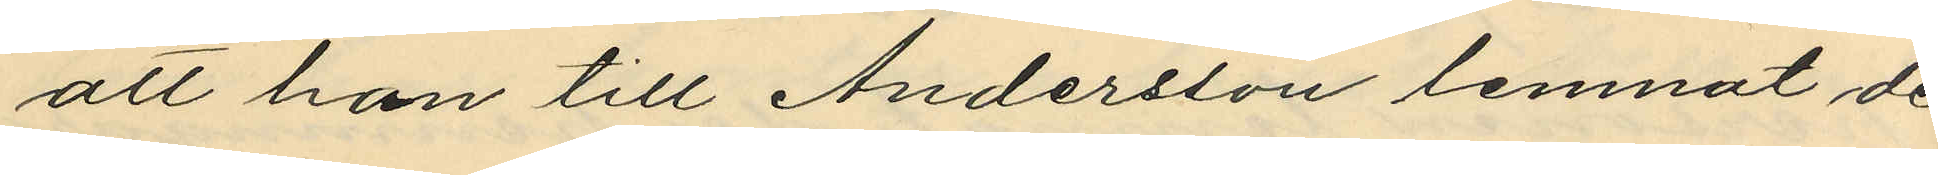att hon till Andersson lemnat de
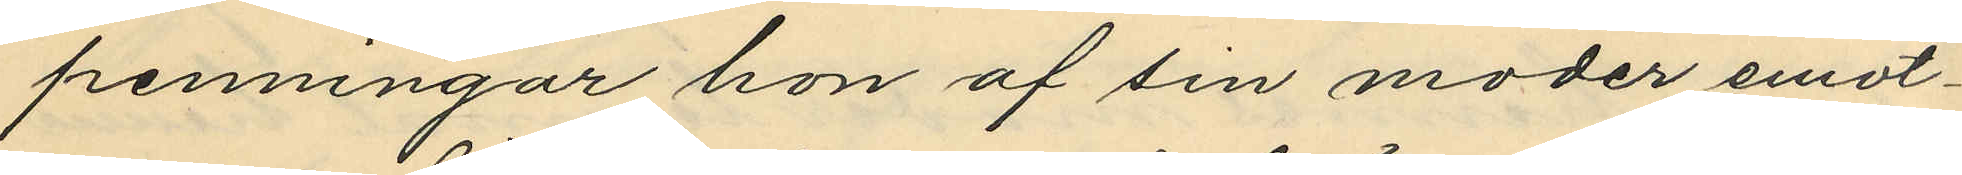penningar hon af sin moder emot¬
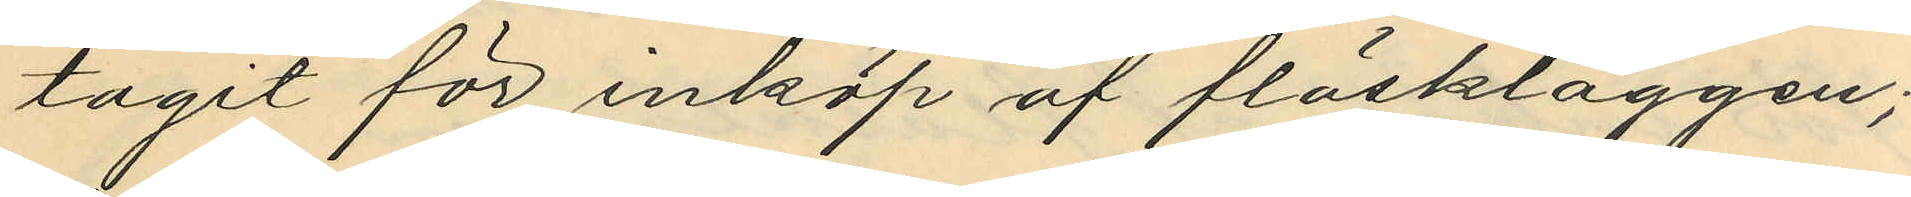tagit för inköp af fläskläggen;
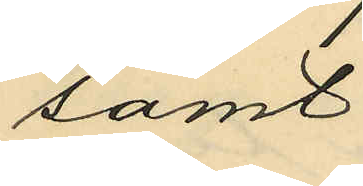samt
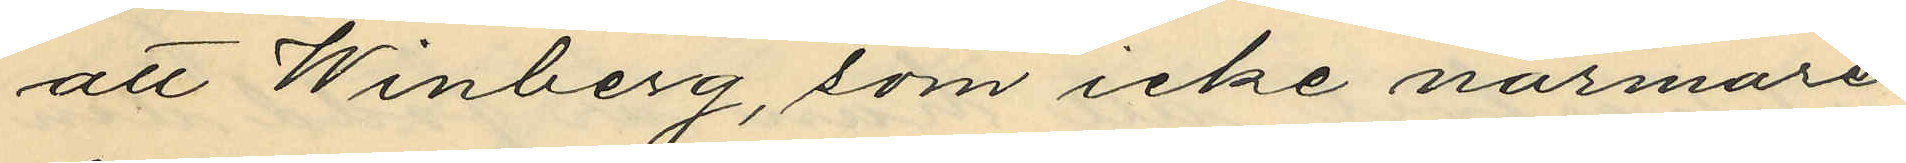att Winberg, som icke närmare
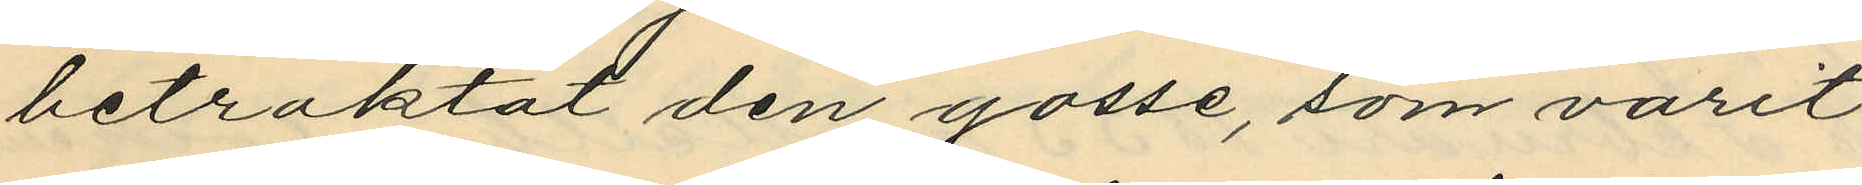betraktat den gosse, som varit
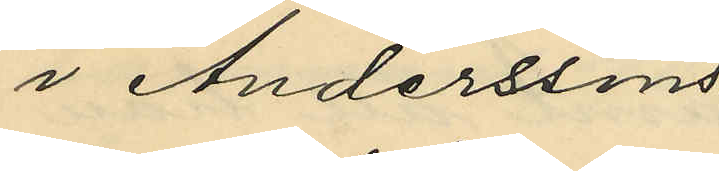i Anderssons
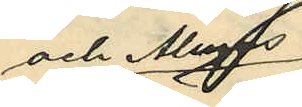och Almas
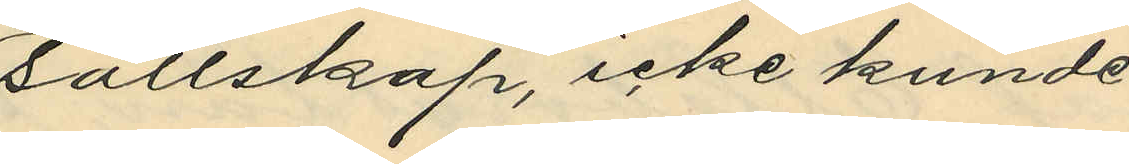sällskap, icke kunde
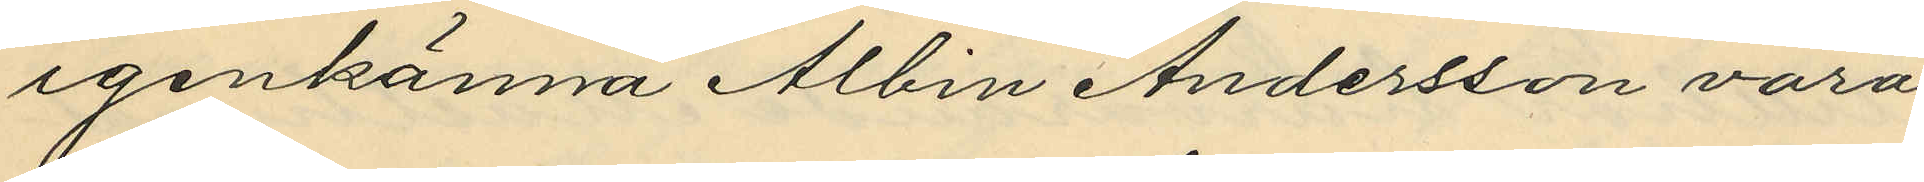igenkänna Albin Andersson vara
